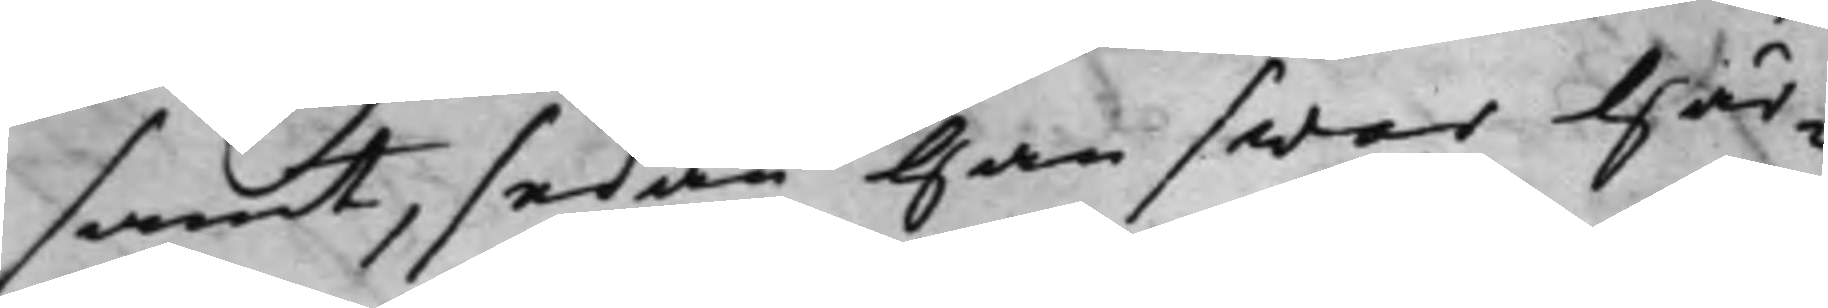samt, sedan han swar Här¬
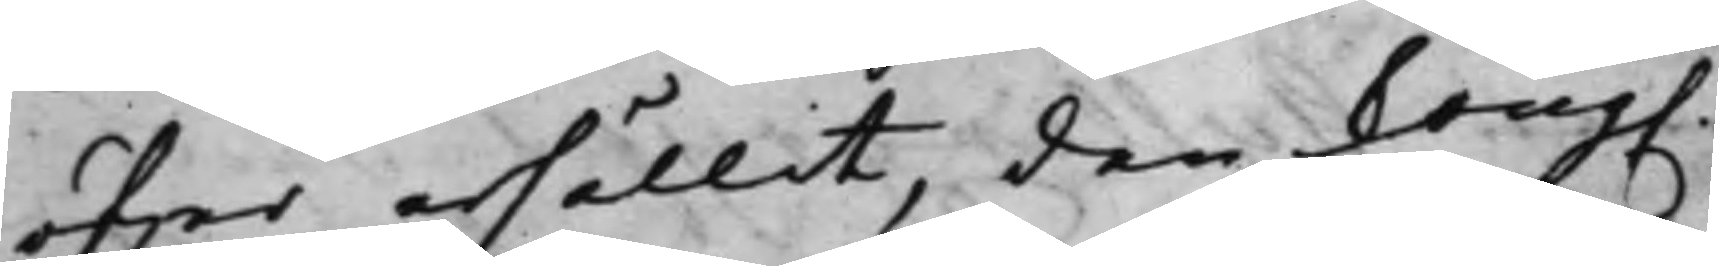öfwer erhållit, den Kong.
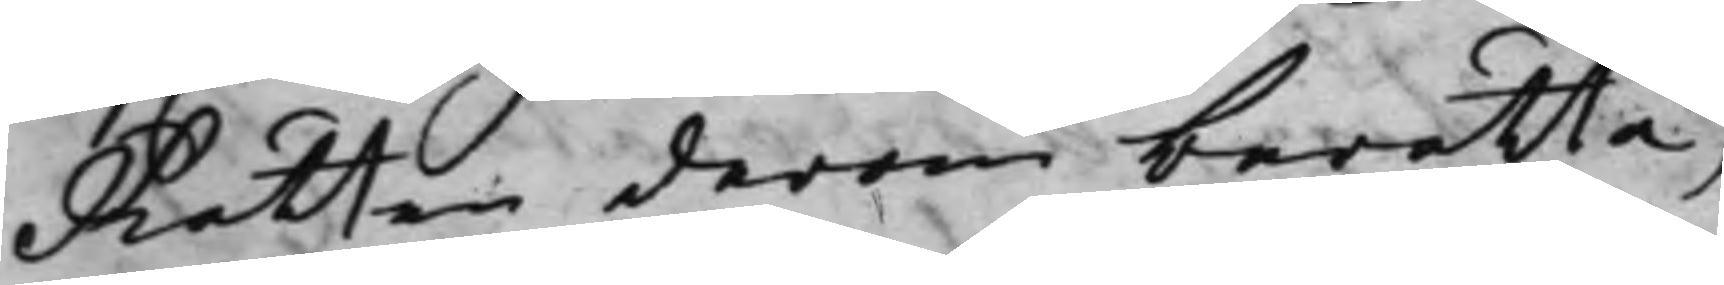Rätten derom berätta,
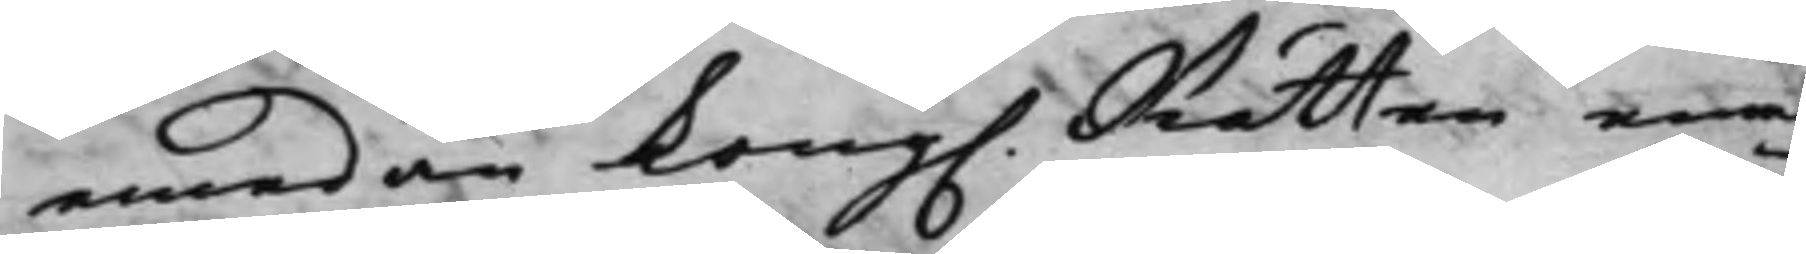emedan Kong. Rätten eme¬
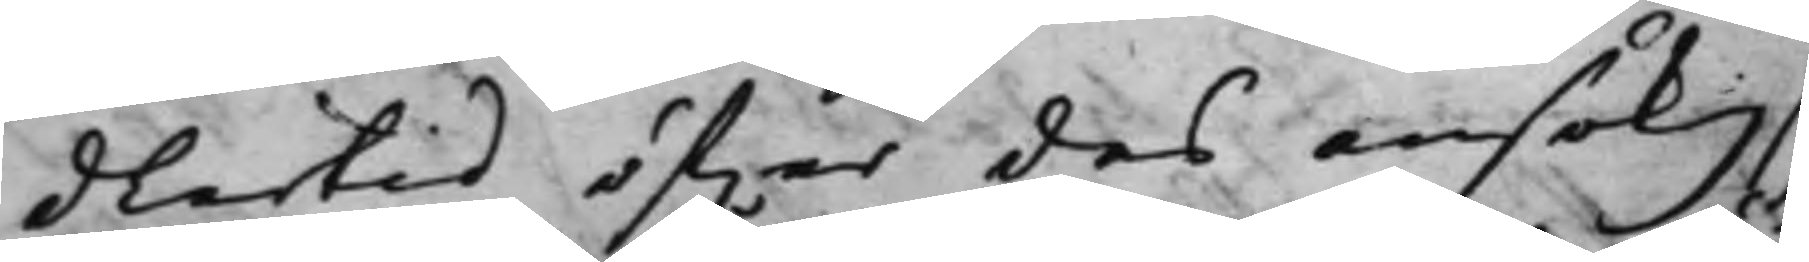dlertid öfwer des ansök. sig
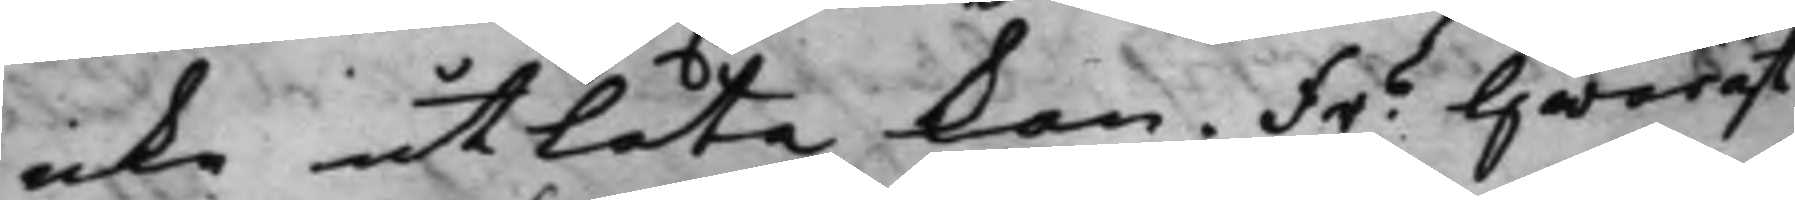icke utlåta kan. Fre hwarest
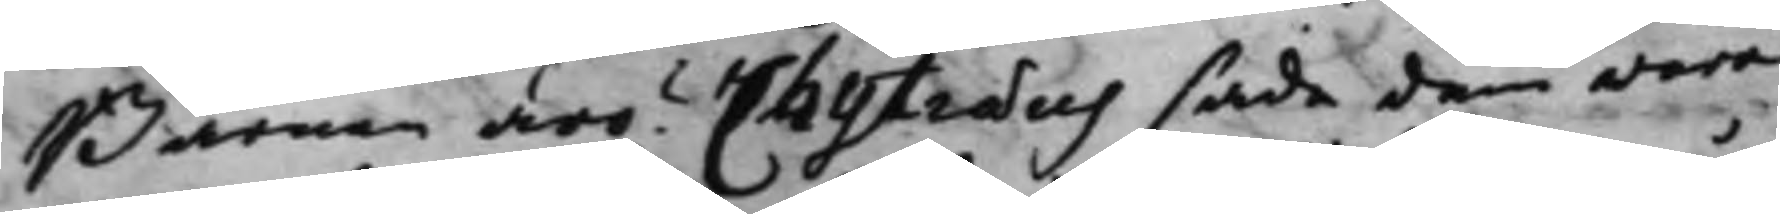Barnen äro? Chytræus sade dem wara
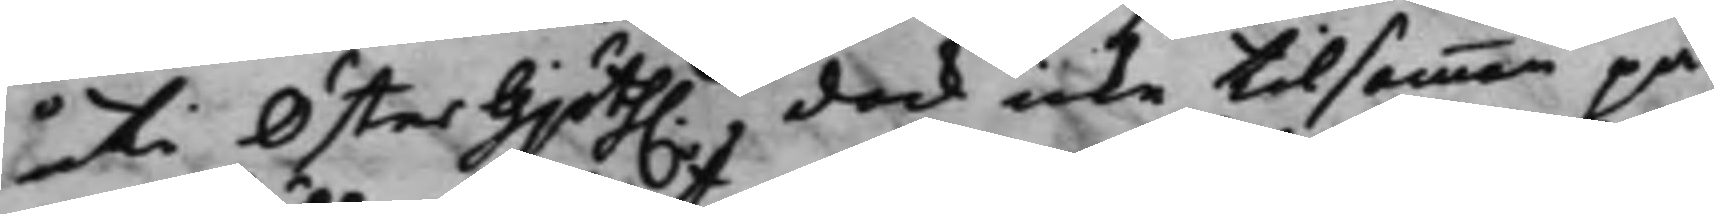uti ÖsterGjöth. dock icke tillsamman på
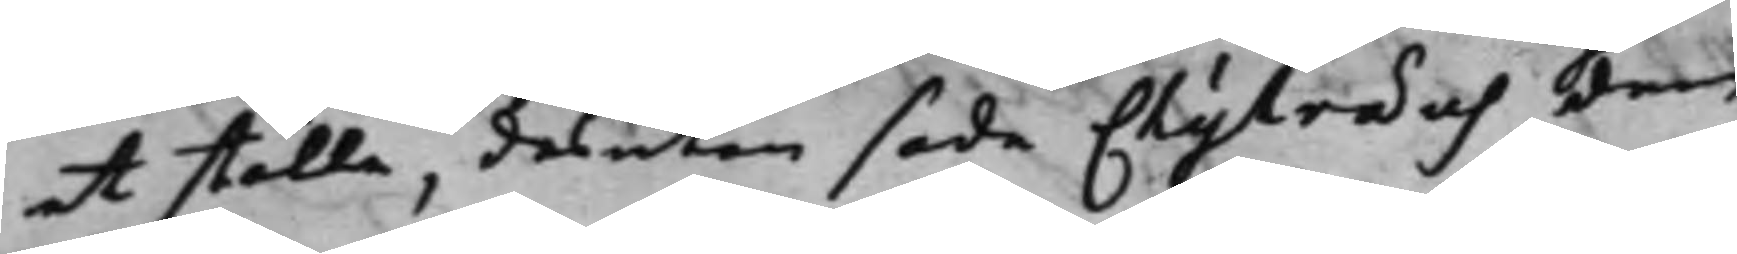et ställe, desutom sade Chytræus dem
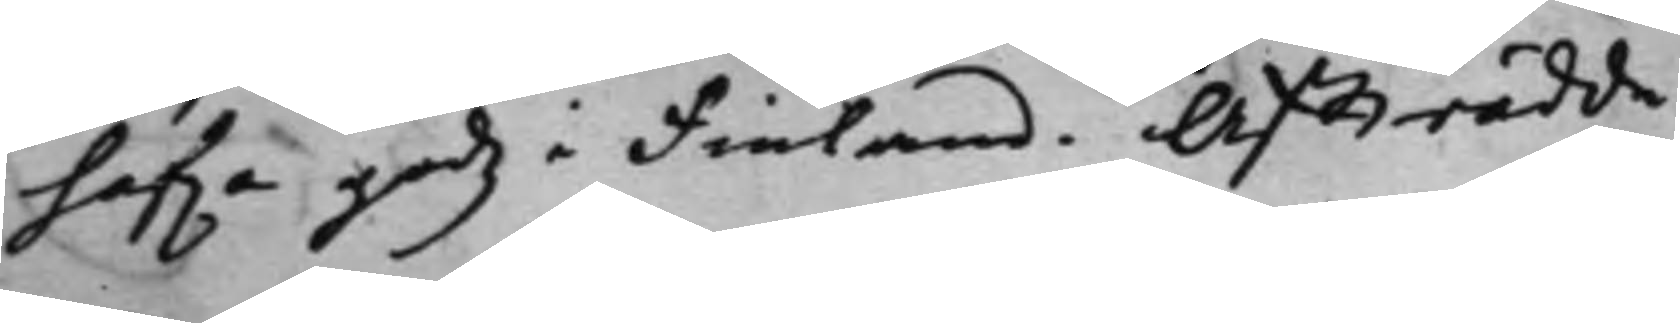hafwa godz i Finland. Affträdde.
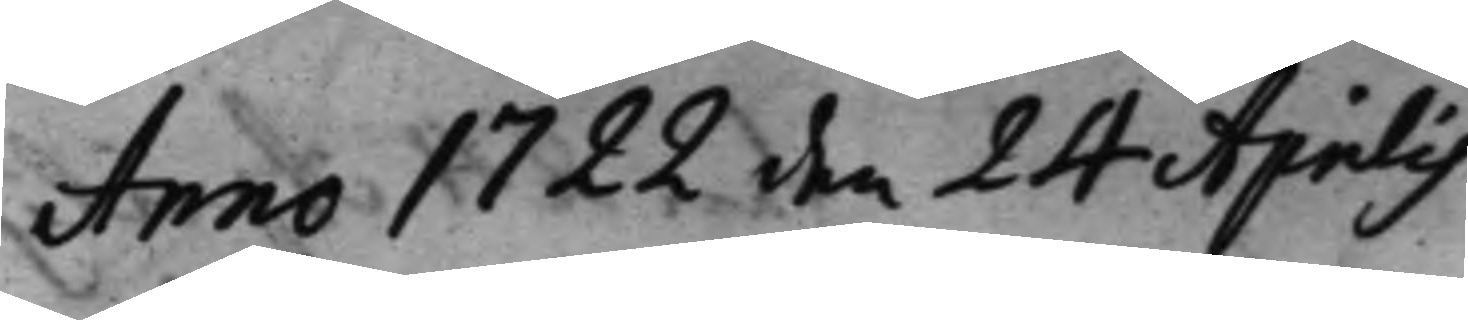Anno 1722 den 24 Aprilis
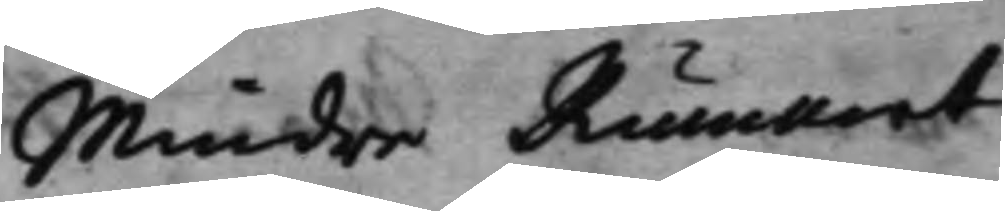Mindre Rummet
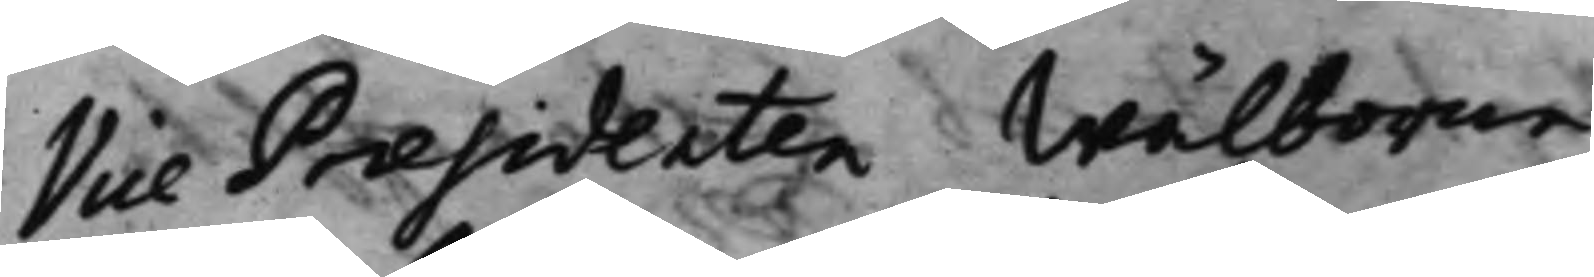Vice Præsidenten Wälborne
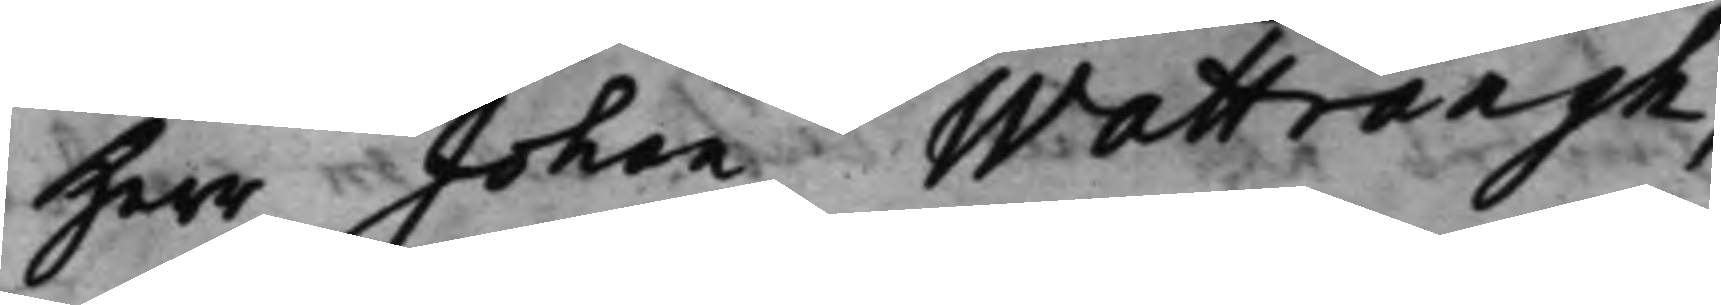Herr Johan Wattrangh,
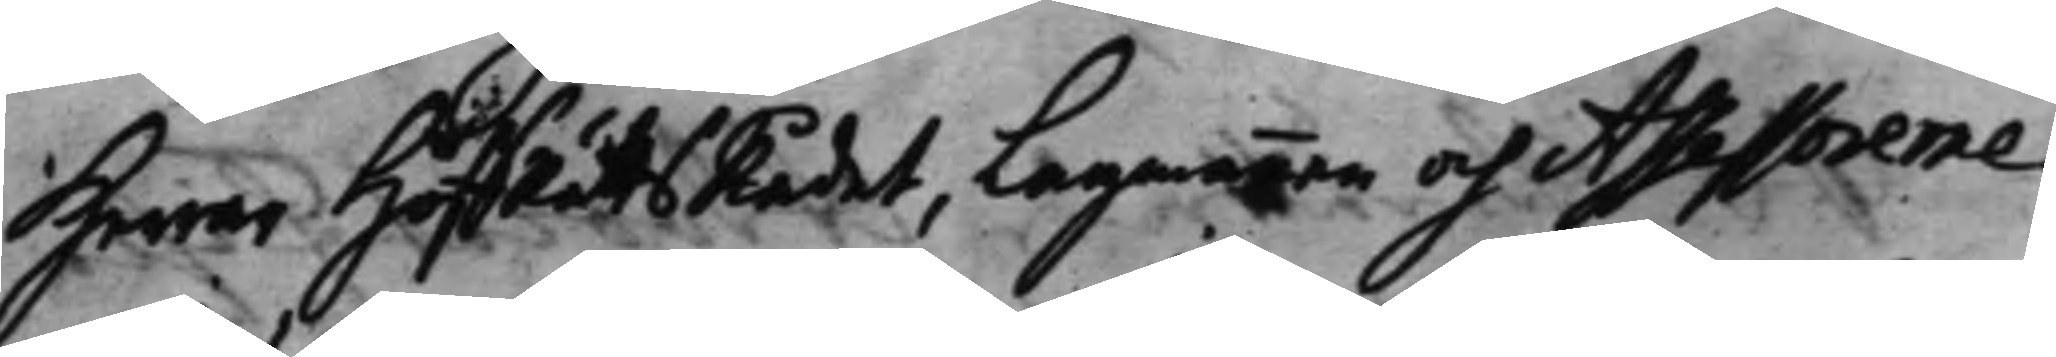Herrar HofRättsRådet, Lagmannen och Assessorerne:
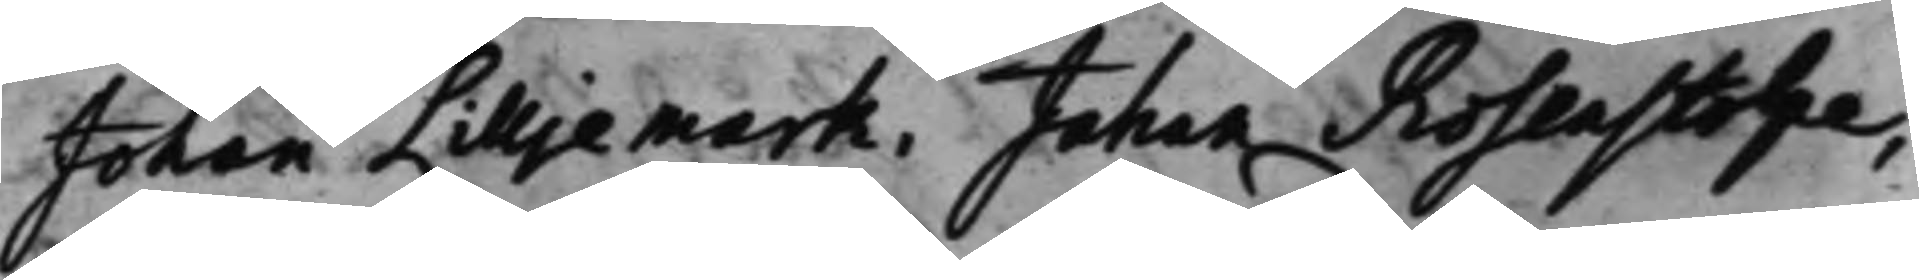Johan Lilljemark, Johan Rosenstolpe,
